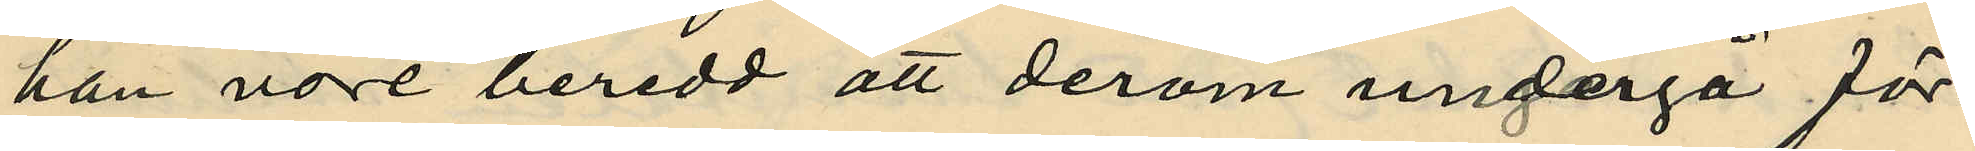han vore beredd att derom undergå för¬
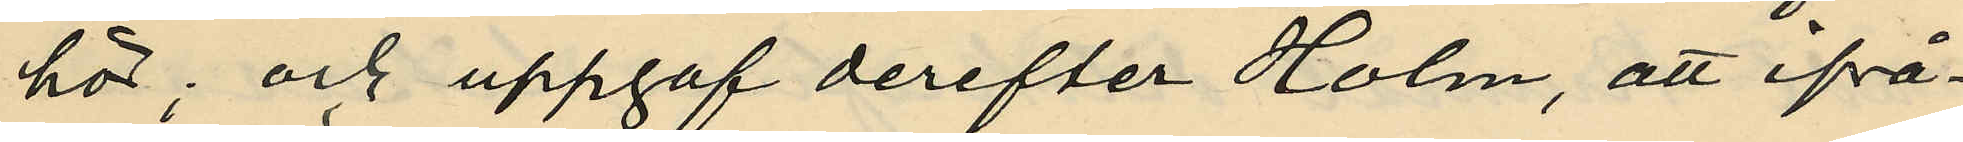hör; och uppgaf derefter Holm, att ifrå¬
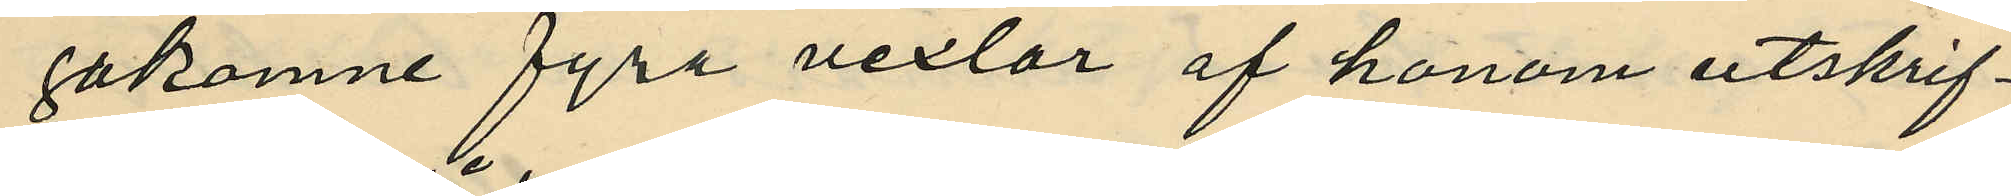gakomne fyra vexlar af honom utskrif¬
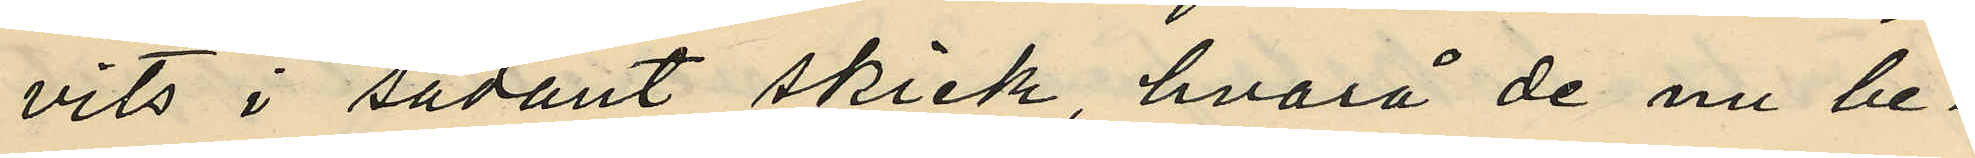vits i sådant skick, hvarå de nu be¬
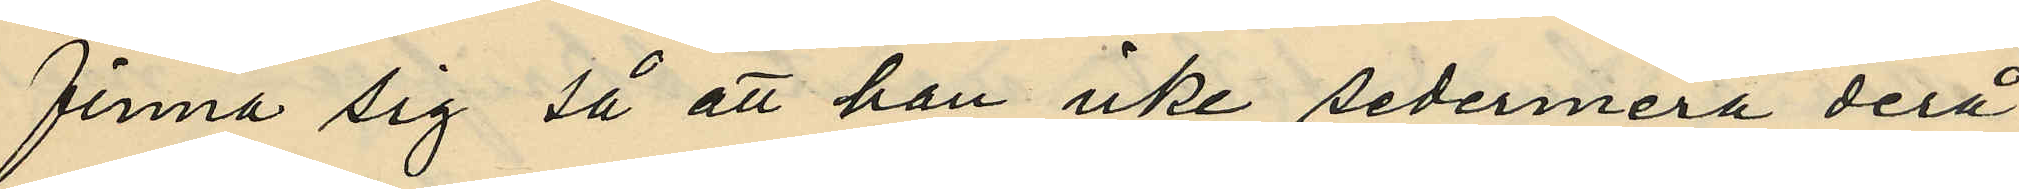finna sig så att han icke sedermera derå
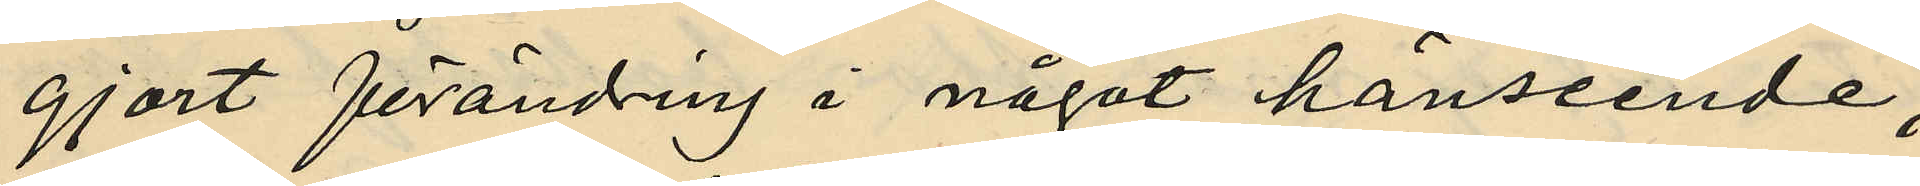gjort förändring i något hänseende;
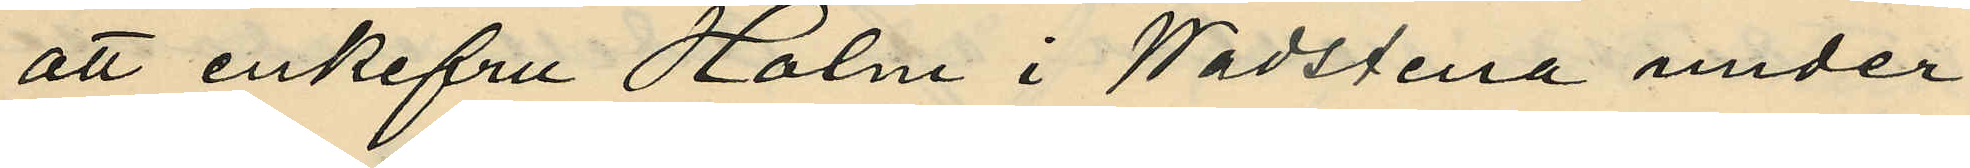att enkefru Holm i Wadstena under¬
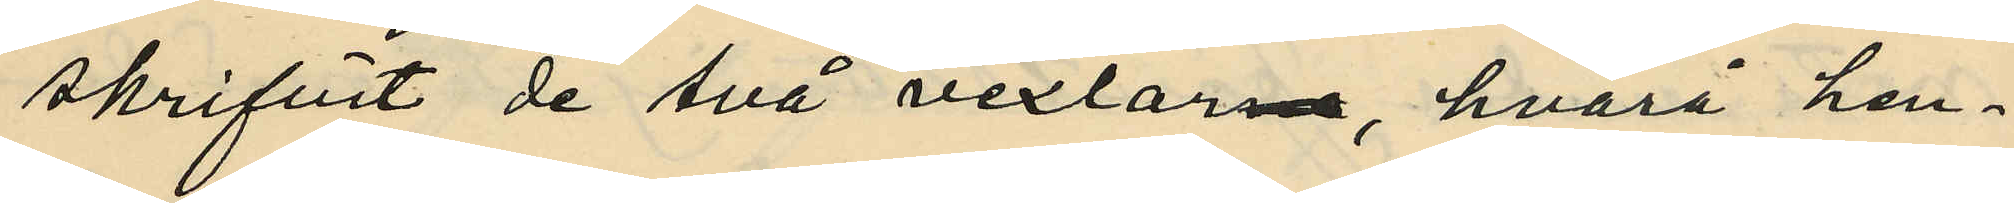skrifvit de två vexlarna, hvarå hen¬
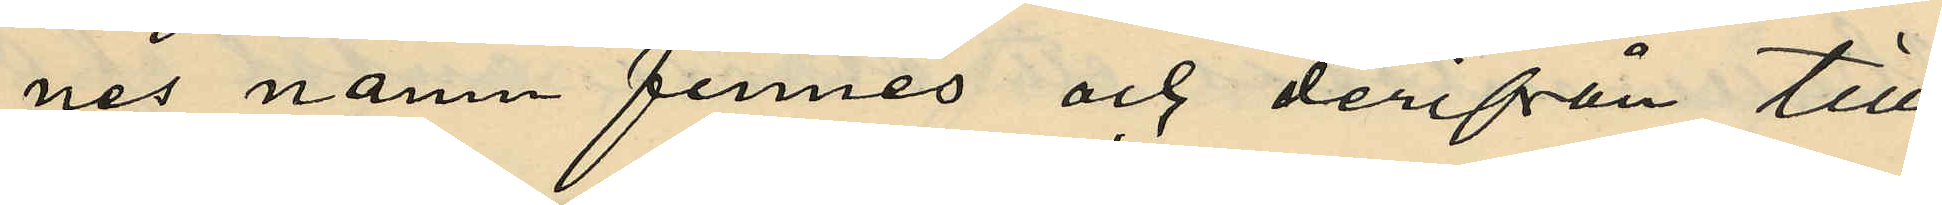nes namn finnes och derifrån till¬
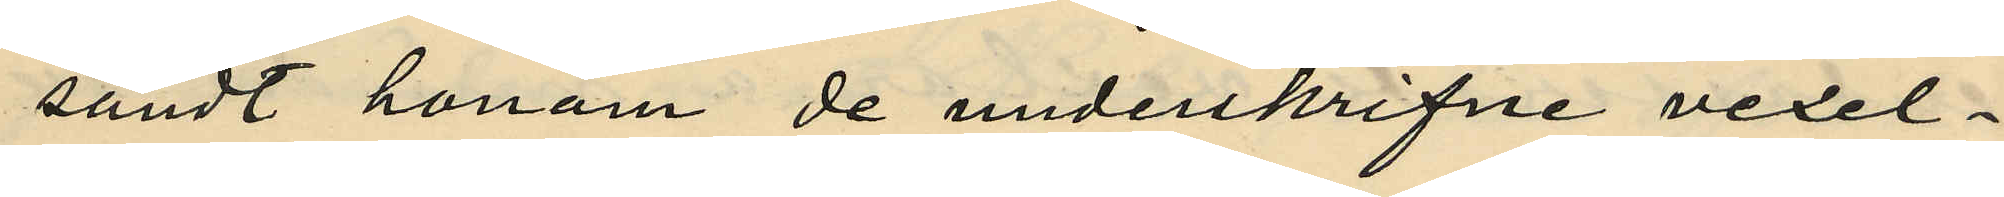sändt honom de underskrifne vexel¬
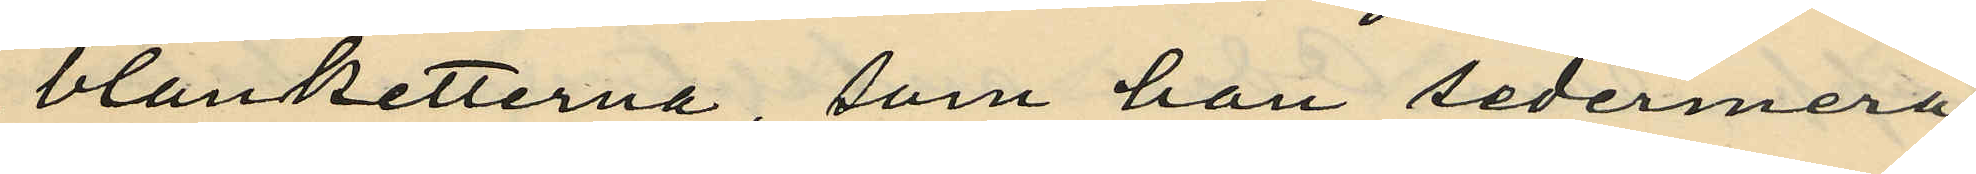blanketterna, som han sedermera
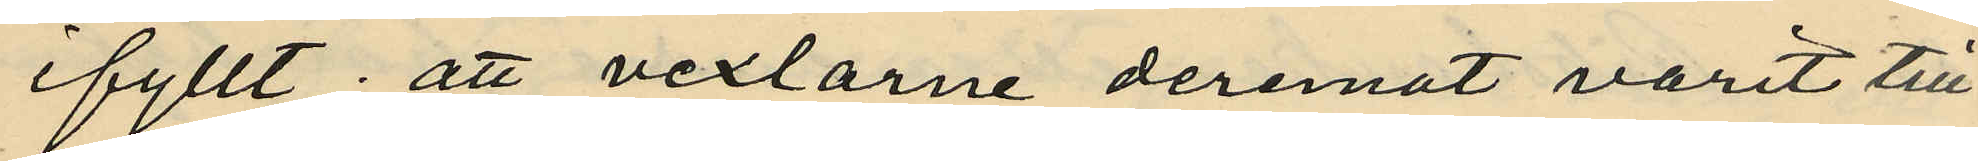ifyllt; att vexlarne deremot varit till
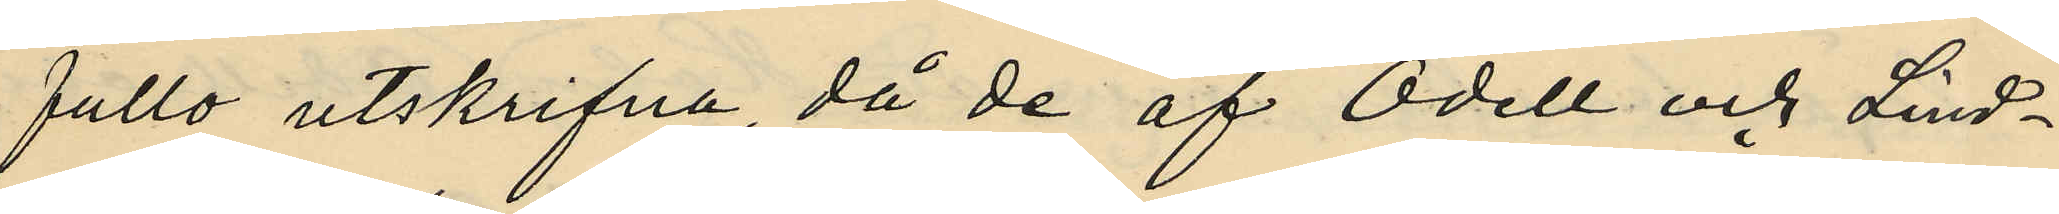fullo utskrifna, då de af Odell och Lind¬
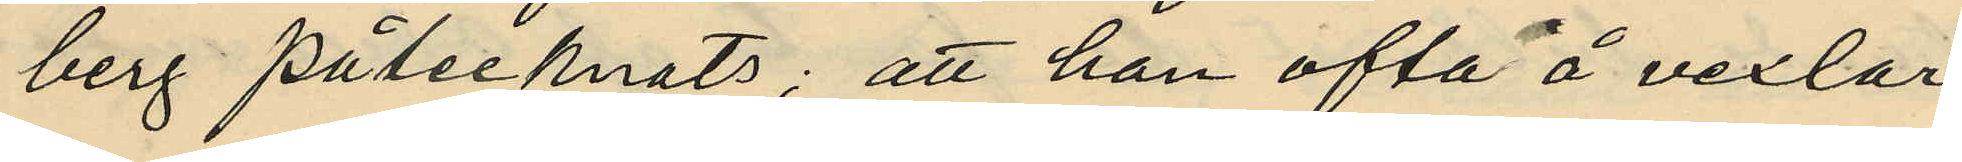berg påtecknats; att han ofta å vexlar
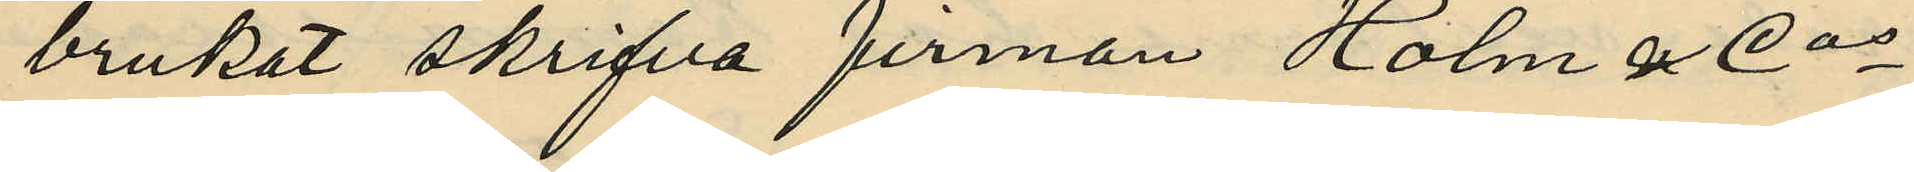brukat skrifva firman Holm & Cos
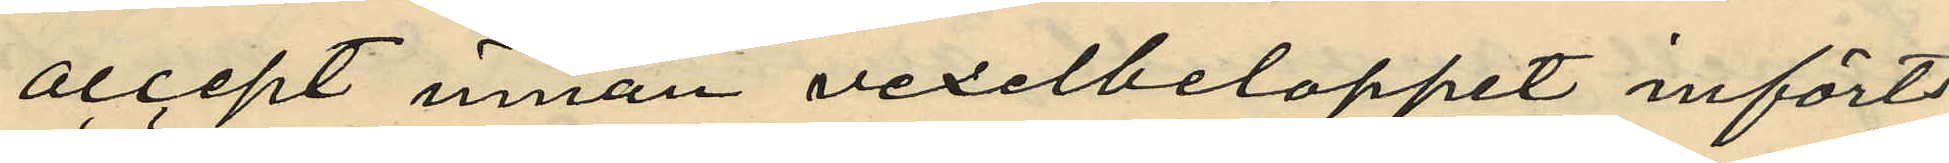accept innan vexelbeloppet införts
